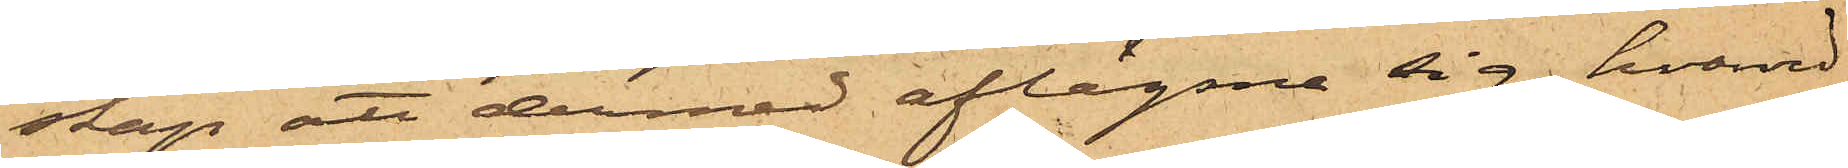skap att dermed aflägsna sig, hvarvid
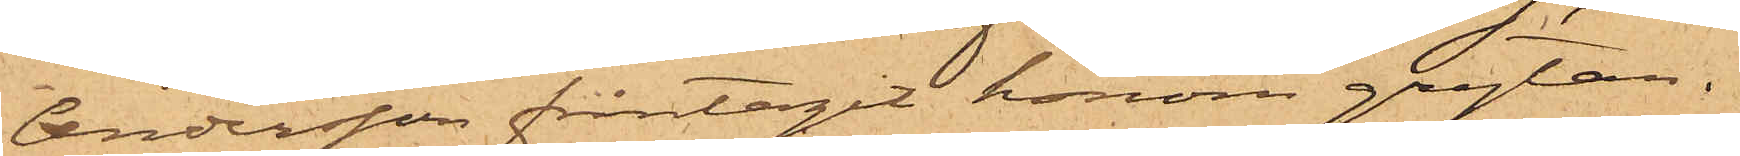Andersson fråntagit honom grytan.
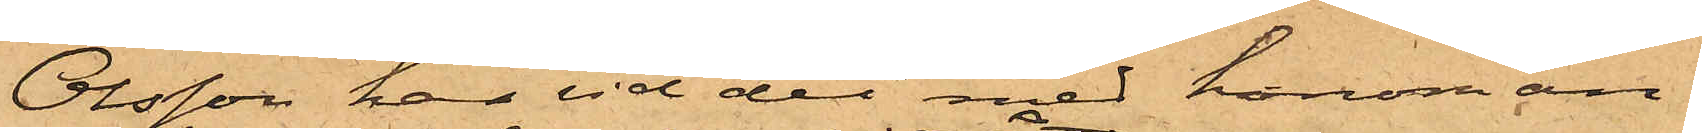Olsson har vid det med honom an¬
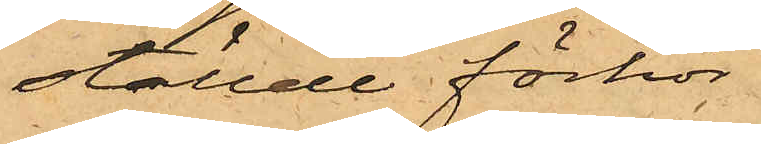ställde förhör
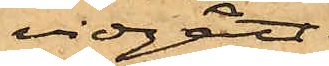vidgått,
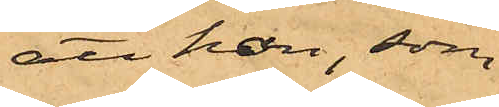att han, som
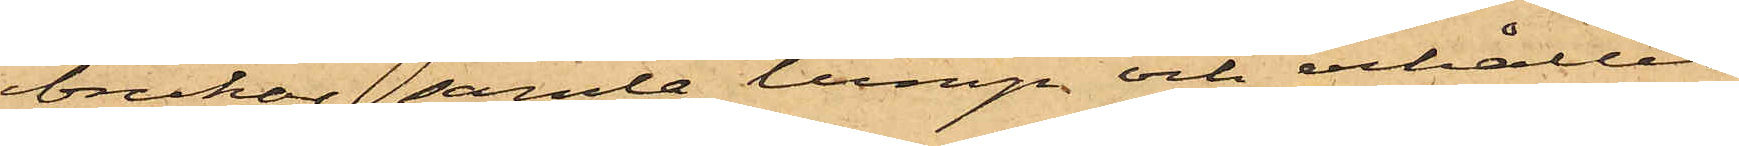brukar samla lump och erhållit
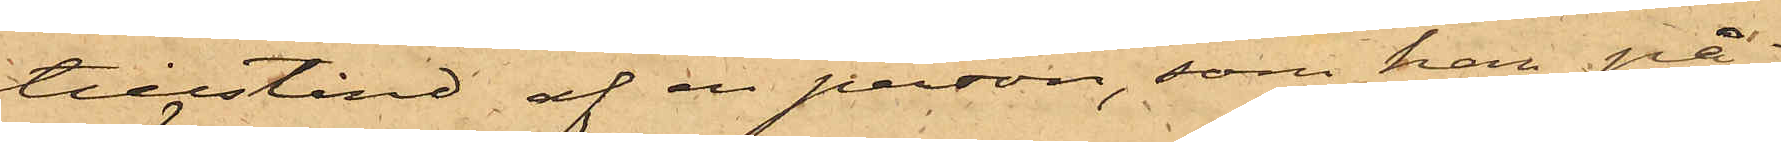tillstånd af en person, som han på¬
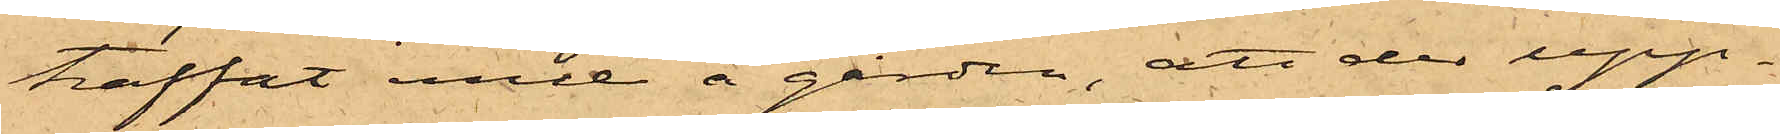träffat inne å gården, att der upp¬
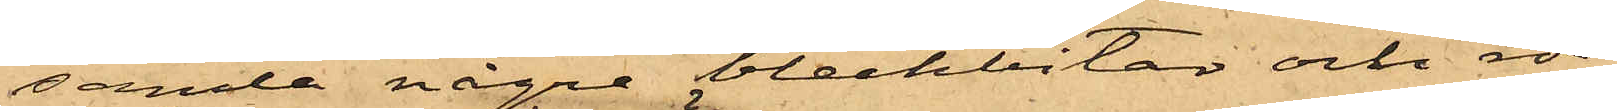samla några bleckbitar och rör,
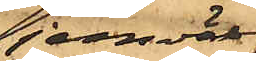jemväl
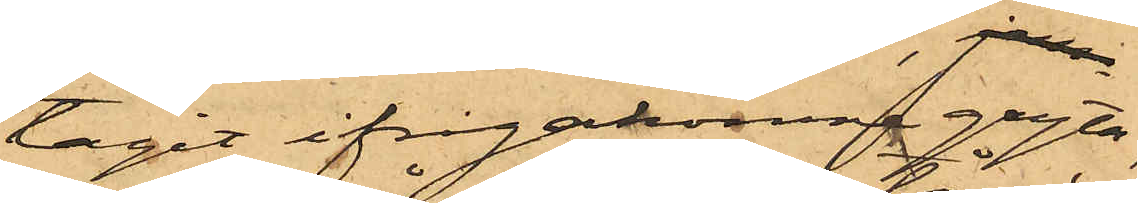tagit ifrågakomne gryta,
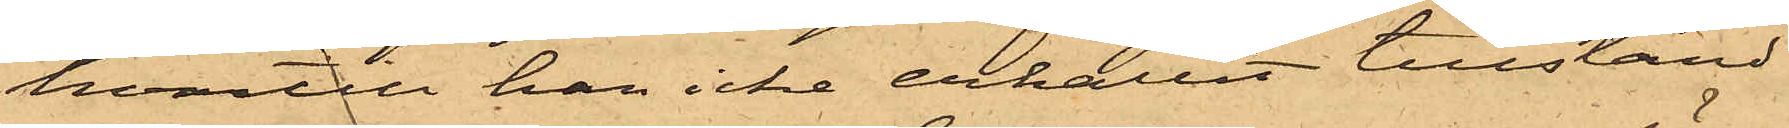hvartill han icke erhållit tillstånd
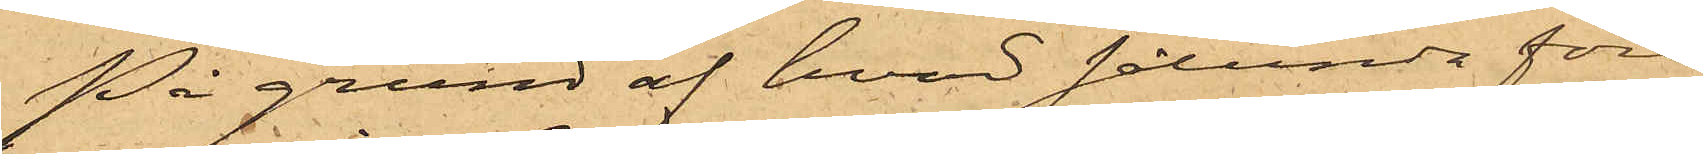På grund af hvad sålunda före¬
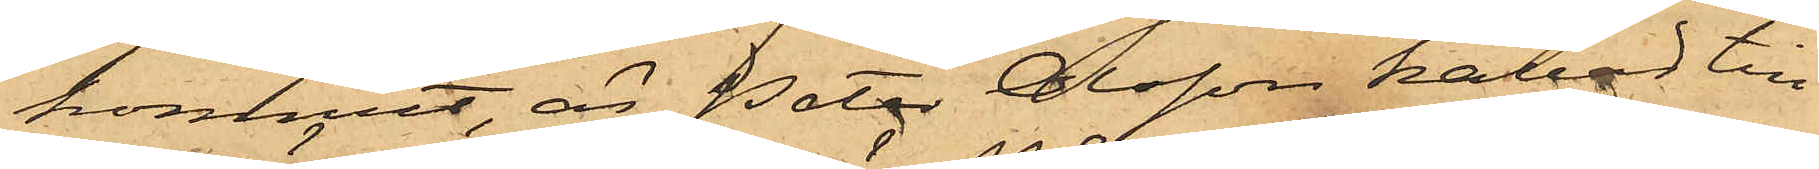kommit, är Peter Olsson kallad till
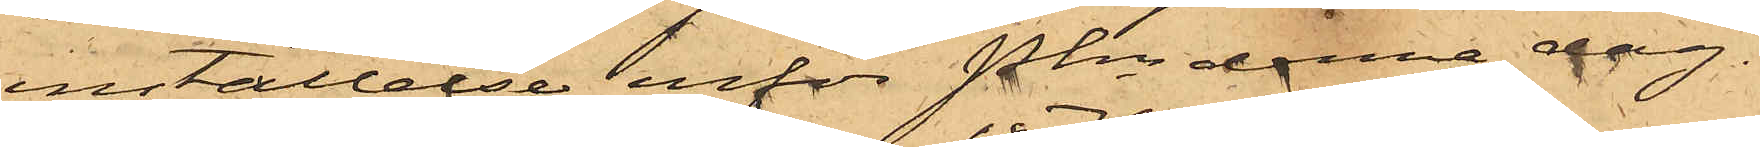inställelse inför Pkn denna dag.
